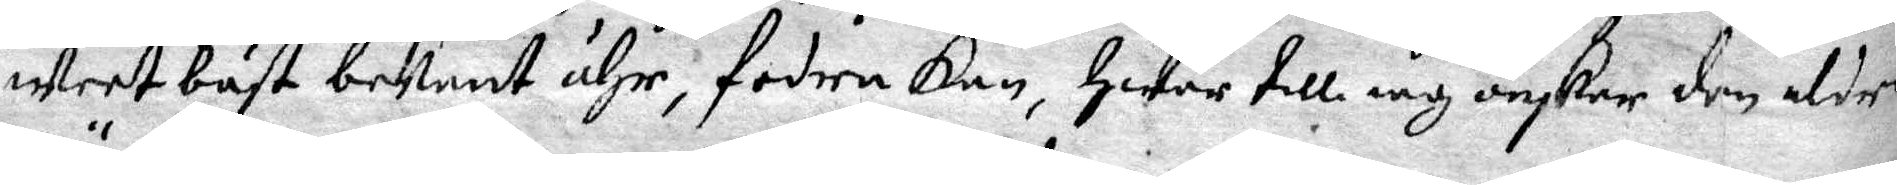weet bäst bekant ähr, fodra kan, Hwar till iag önskar dem aldre¬
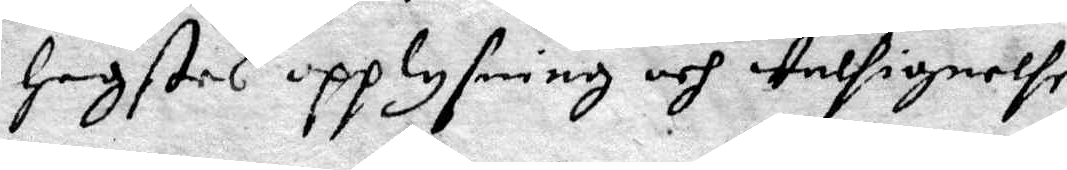högstes upplysning och welsignelse.
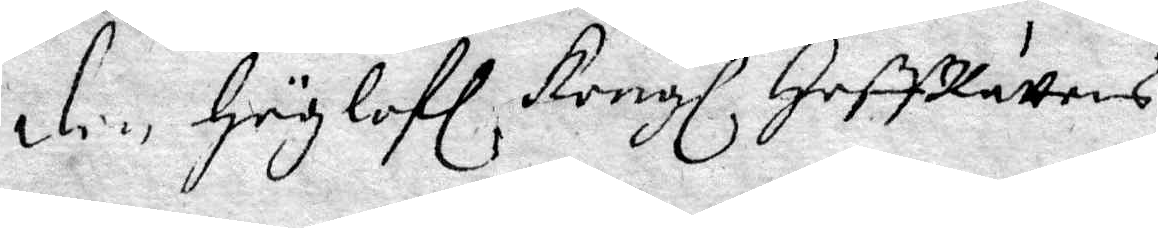den Höglofl Kongl HoffRättens
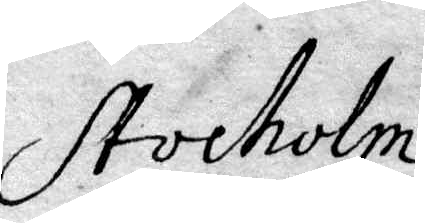Stockholm
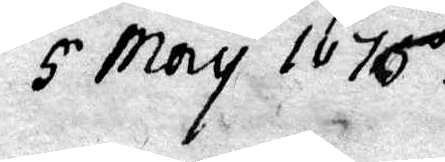5 May 1676
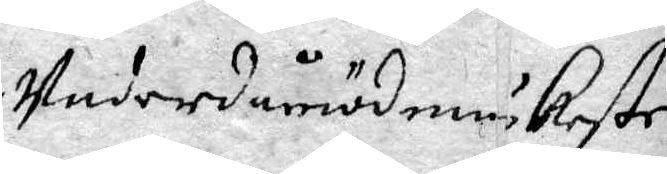Underödmiukaste
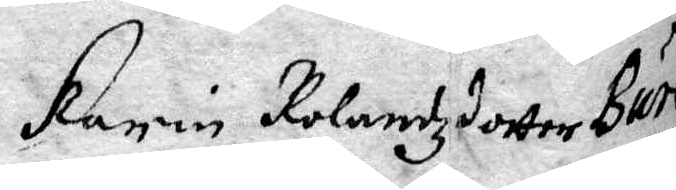Karin Rolandzdotter Bure,
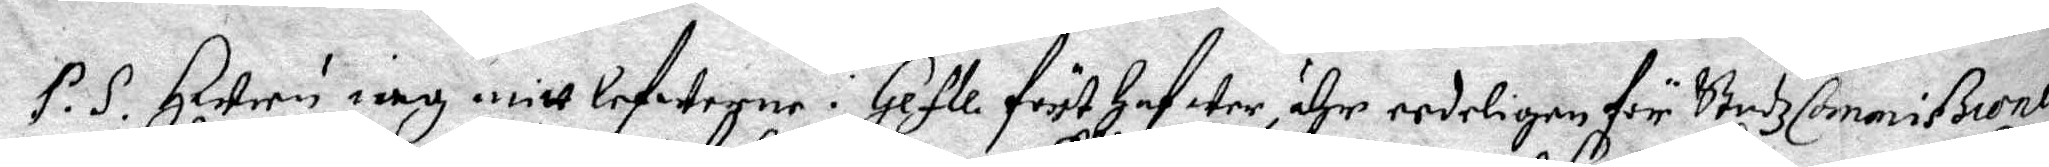P.S. Huru iag mitt lefwerne i Gefle först  Hafwer, ähr eedeligen för StadzCommißionen
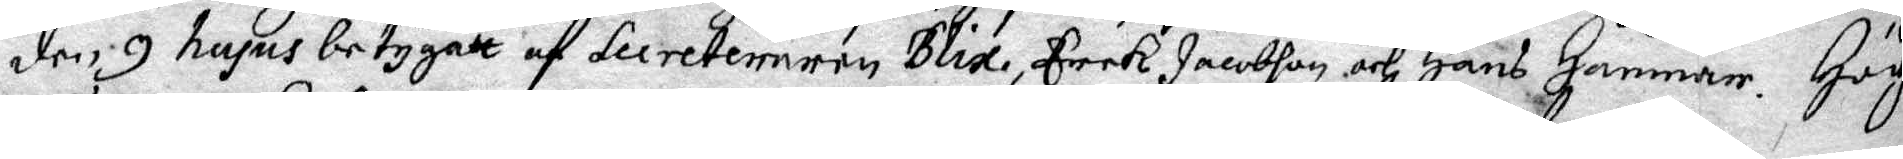den 9 hujus betygatt af Secreterernen Blix, Erek Jacobson och Hans Hammar. Hög¬
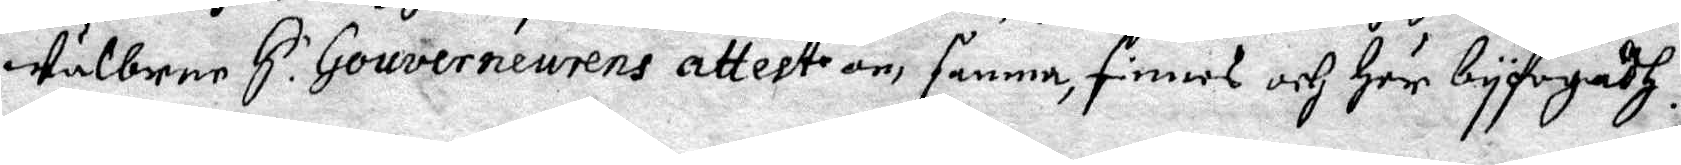wälborne H.r Gouverneurens attest om samma, finnes och Här byfogadh.
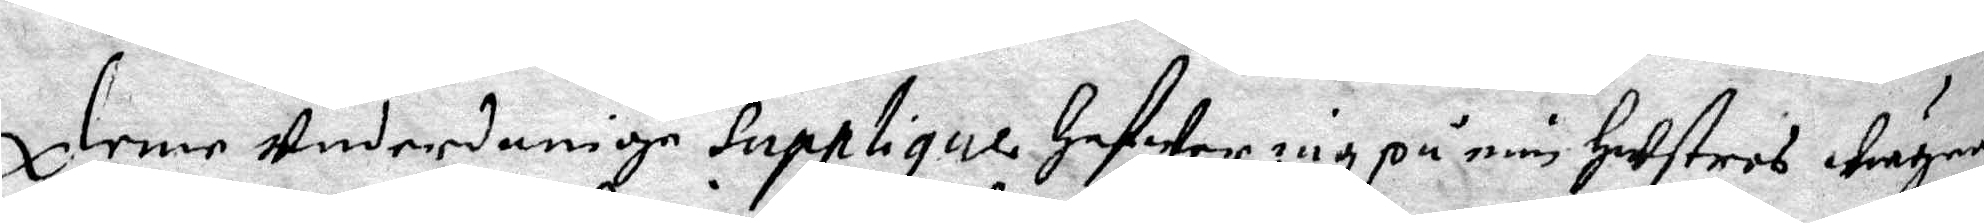Denne underdaninge Supplique Hafwer iag på min Hustrus wägnar
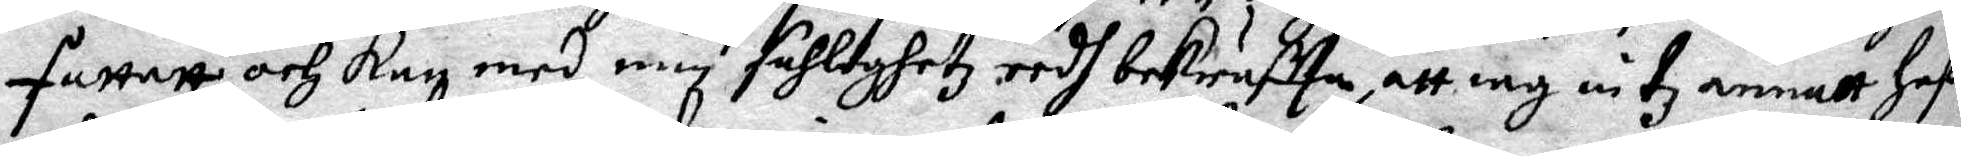fattat och kan med men fuhltyghetz eedh bekräftta, att iag intz annatt Haf¬
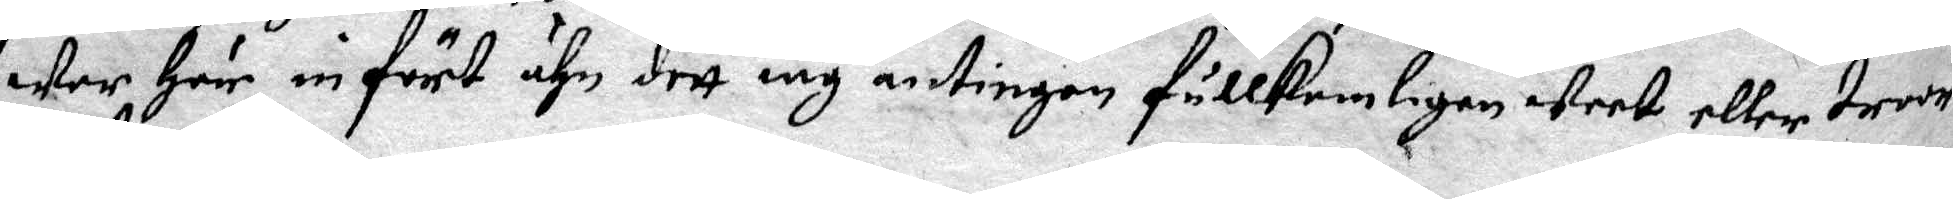wer Här infört ähn dett iag antingen fullkomligen weet eller troor
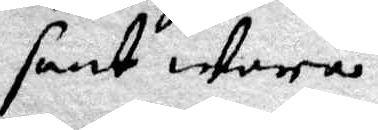sant wara.
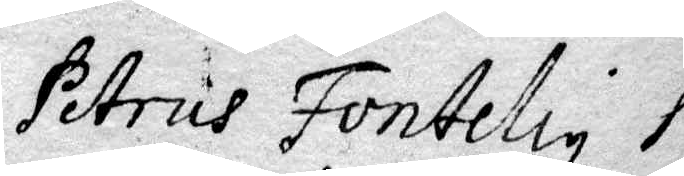Petrus Fonteliy P.
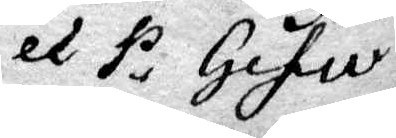ex P. Gefle
